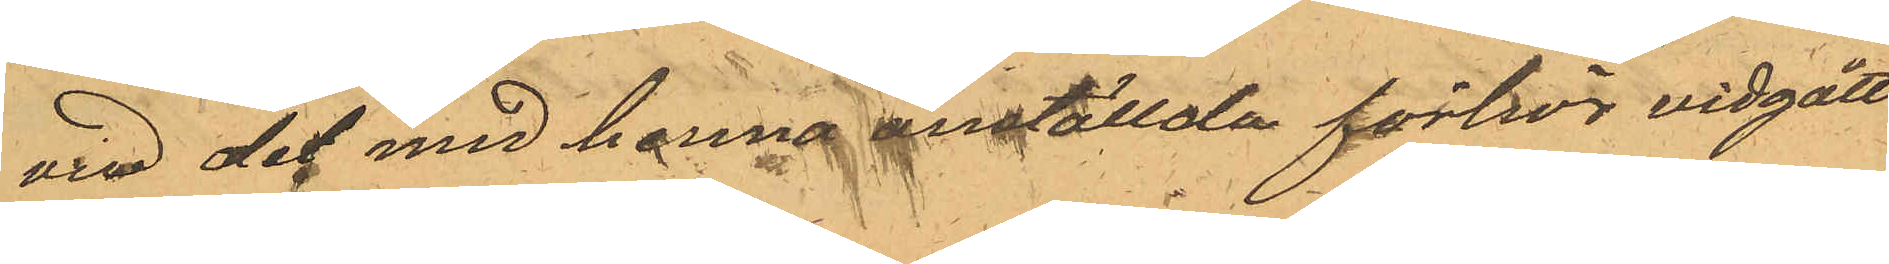vid det med henne anställda förhör vidgått
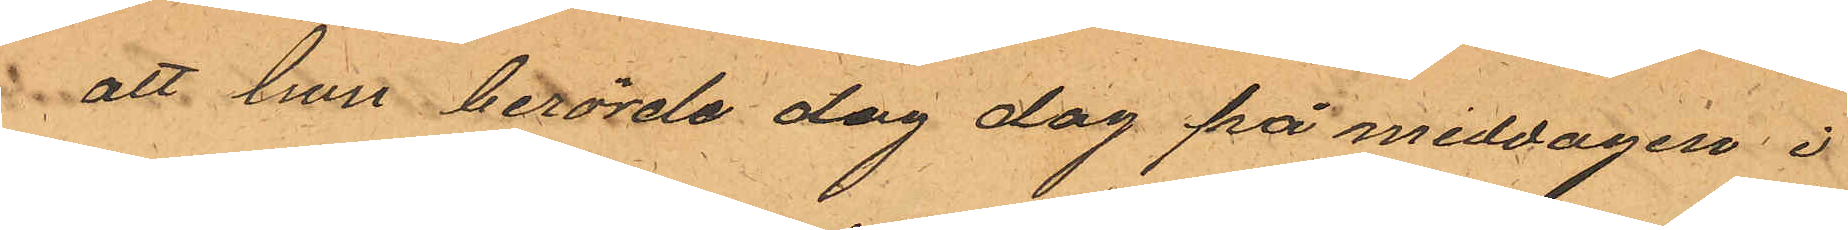att hon berörde dag dag på middagen i
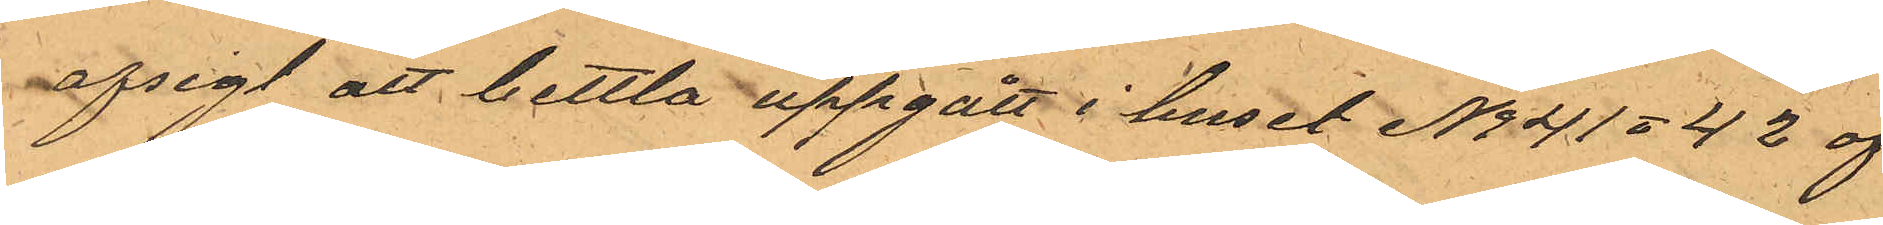afsigt att bettla uppgått i huset No 41 & 42 af
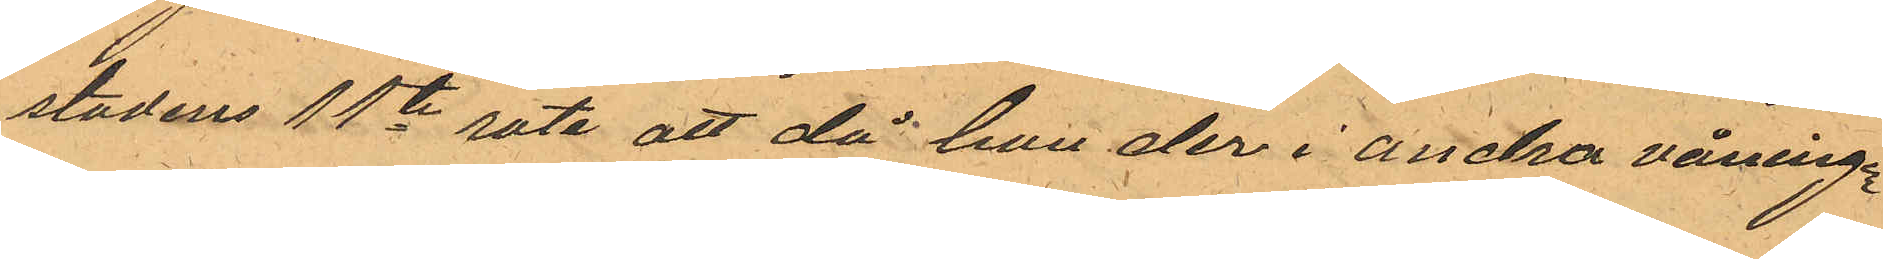stadens 11te rote att då hon der i andra våningen
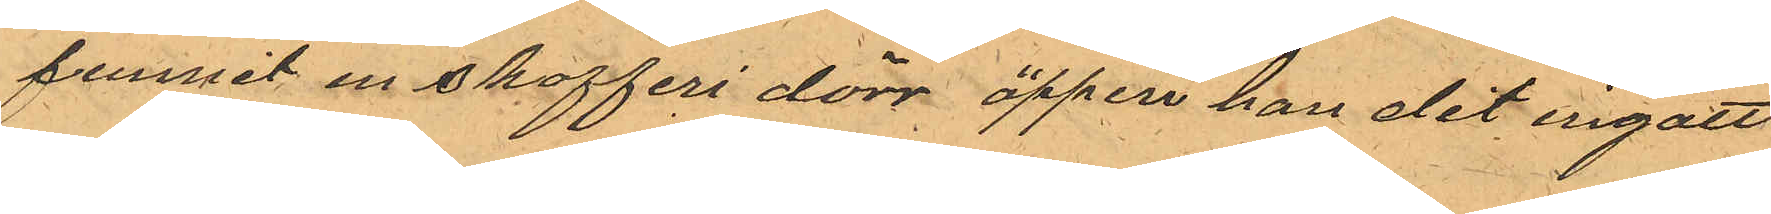funnit en skafferi dörr öppen hon dit ingatt
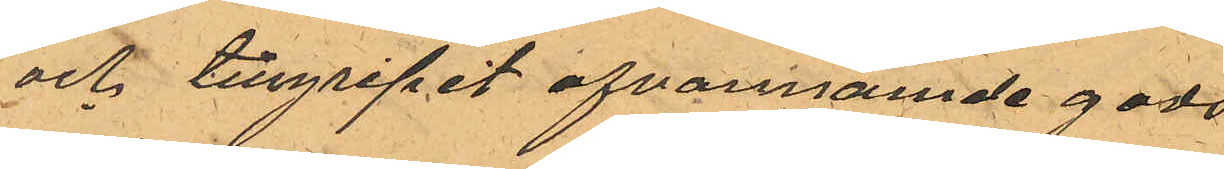och tillgripit ofvannämde gods
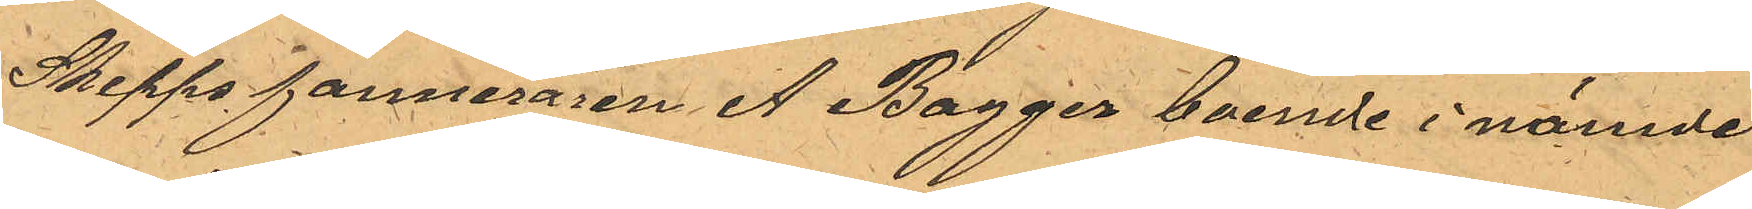Skeppsfourneraren A Bagger boende i nämde
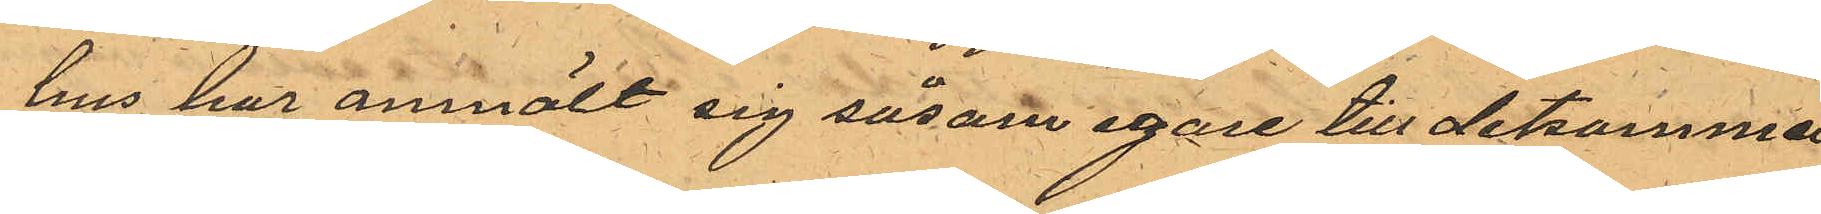hus har anmält sig såsom egare till detsamma
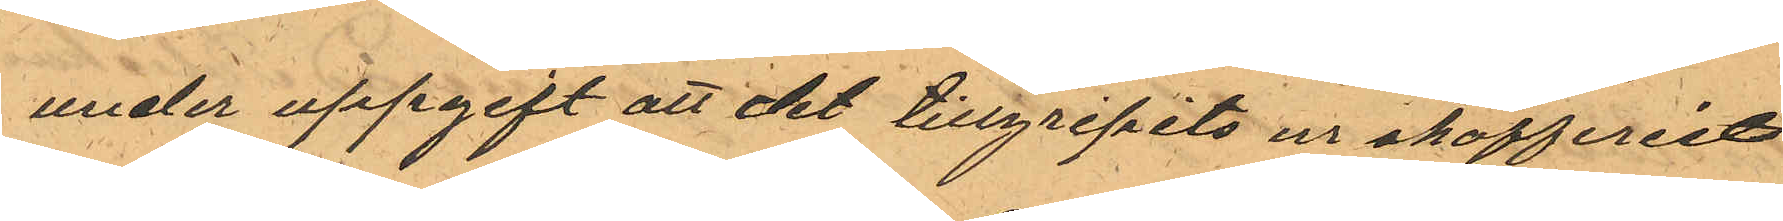under uppgift att det tillgripits ur skafferiet
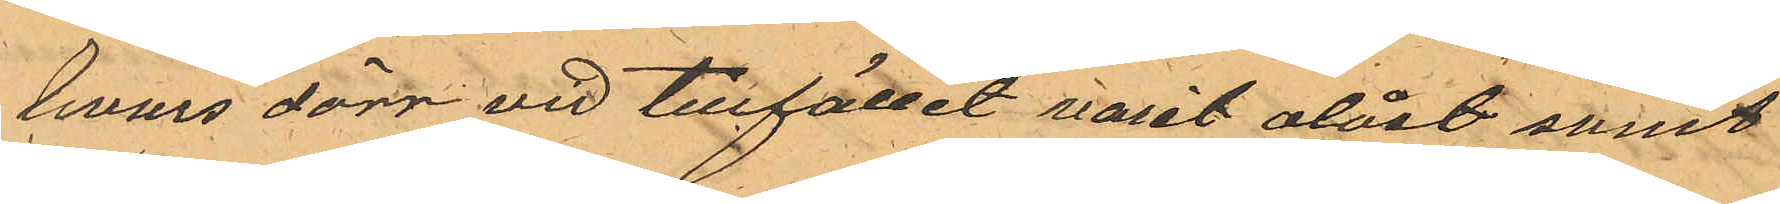hvars dörr vid tillfället varit olåst samt
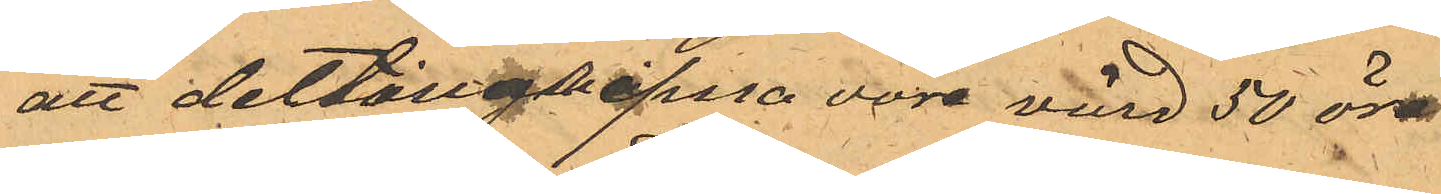att det tillgripna vore värd 50 öre
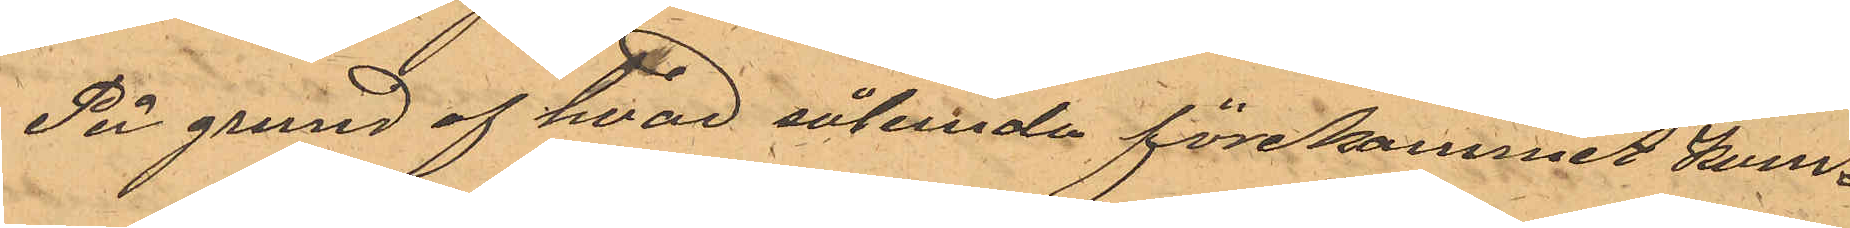På grund af hvad sålunda förekommit kom¬
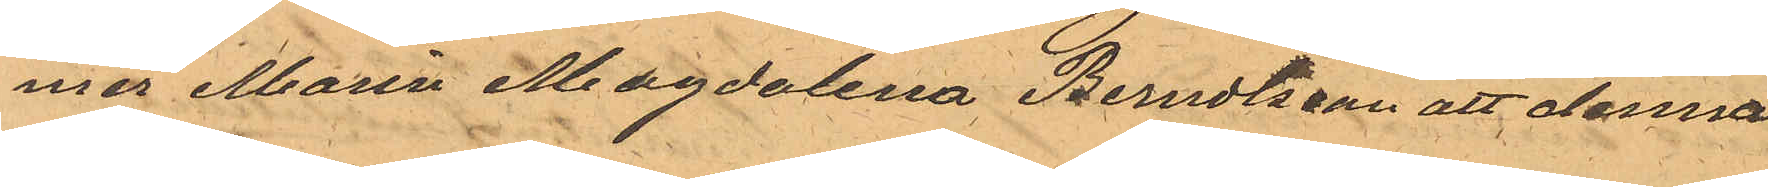mer Maria Magdalena Berndtsson att denna
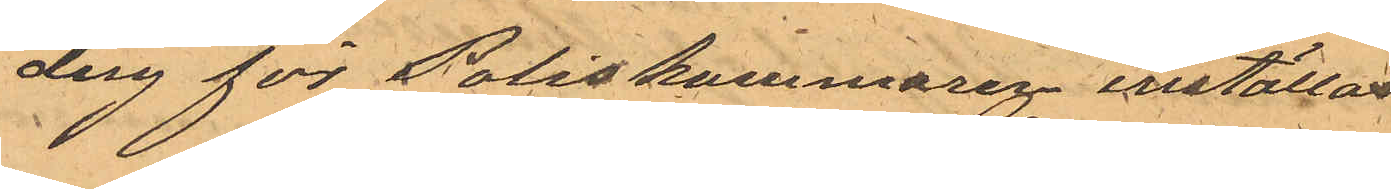dag för Poliskammaren inställas.
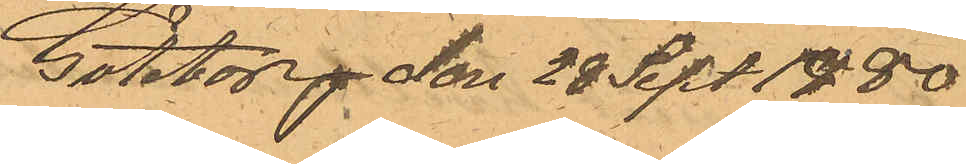Göteborg den 28 Sept 1880.
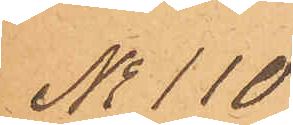No 110
